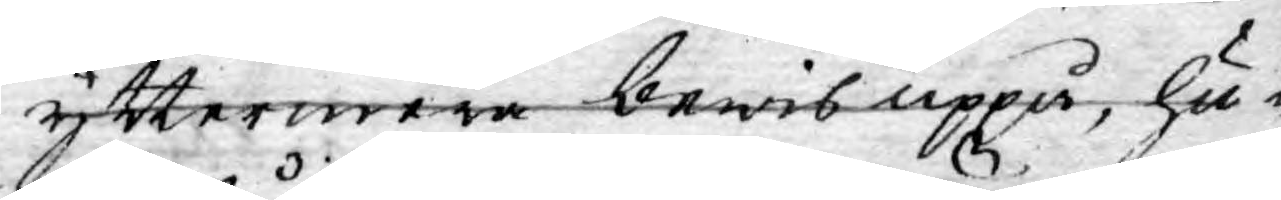yttermera bewis uppå, hu¬
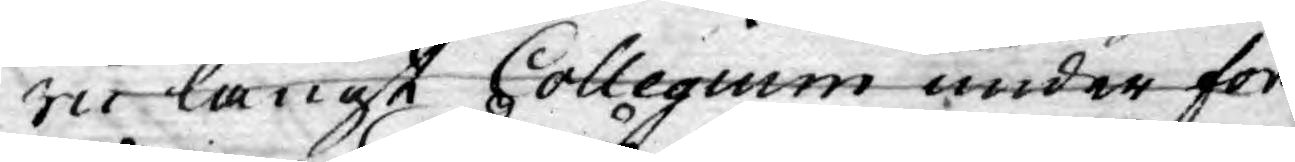ru långt Collegium under fort¬
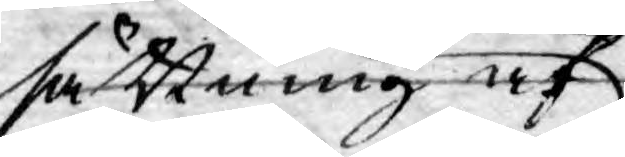sättning af
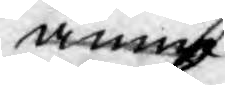ännu
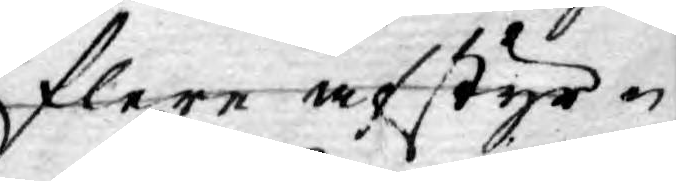flere afstyr¬
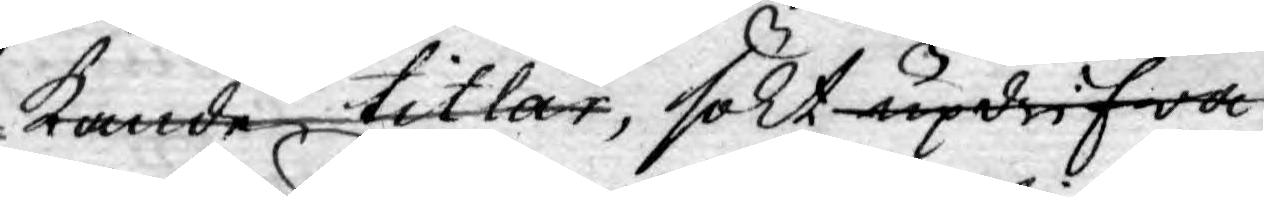kande titlar, sökt updrifwa
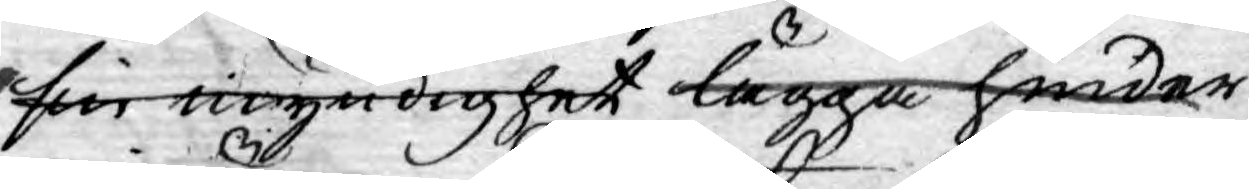sin myndighet lägga hinder
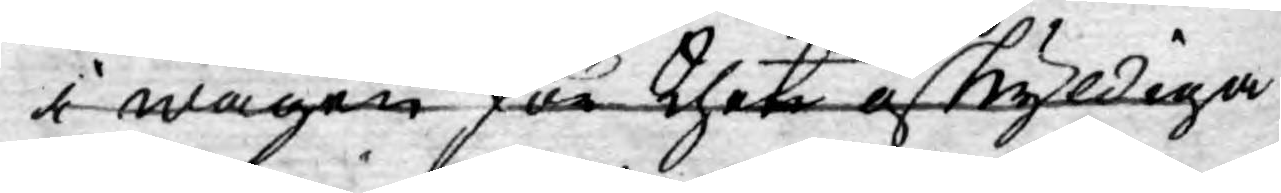i wägen för thet oskyldiga¬
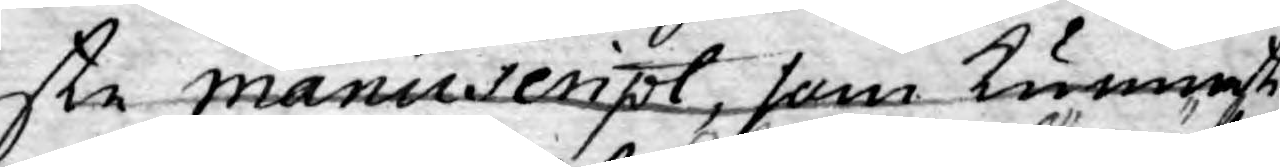ste Manuscript, som kunnat
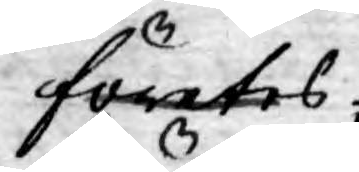företes;
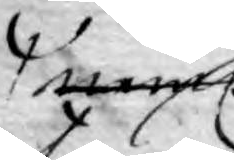neml:
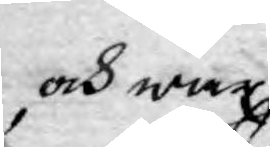och war
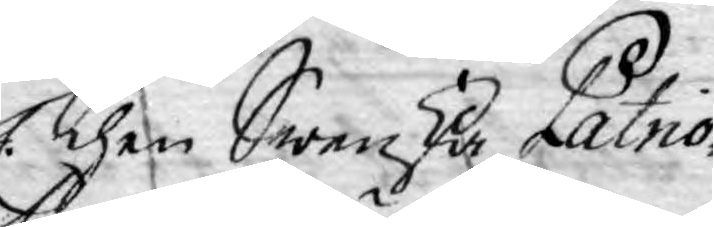Then Swenska Patrio¬
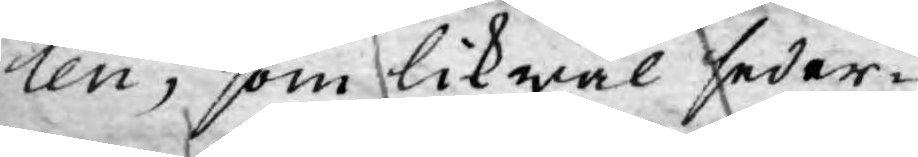ten, som likwäl seder¬
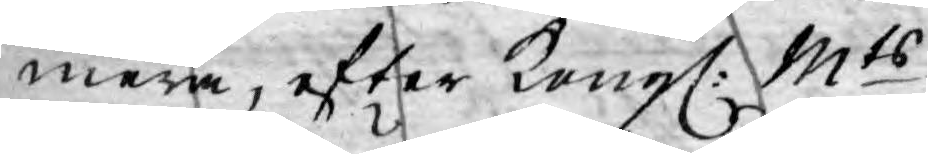mera, efter Kongl: Mts
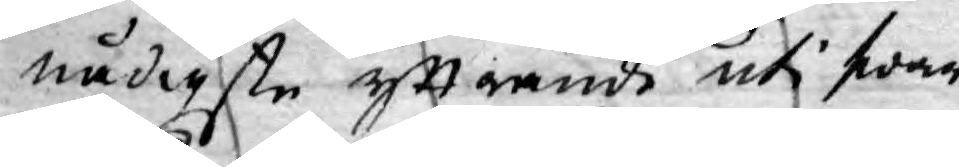nådigste yttrande uti swar
